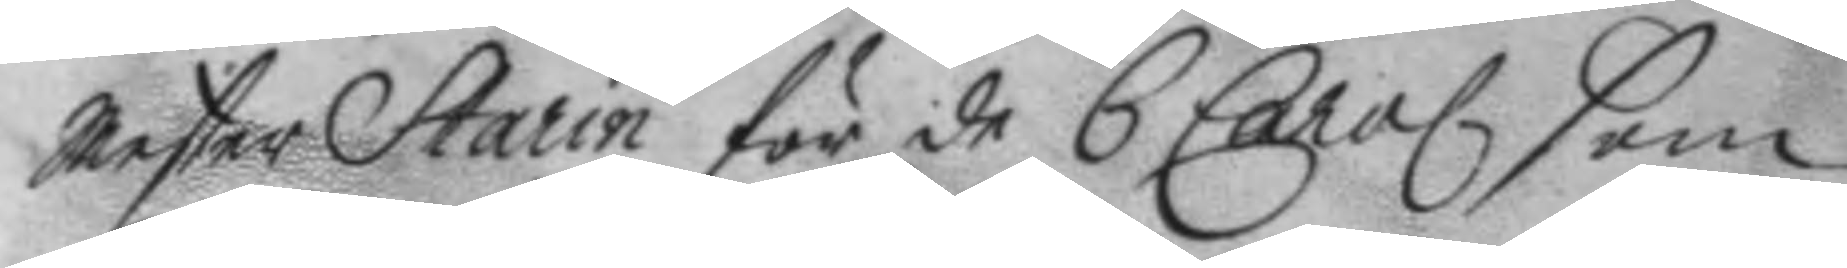Mester Starin för de 6 Carol. som
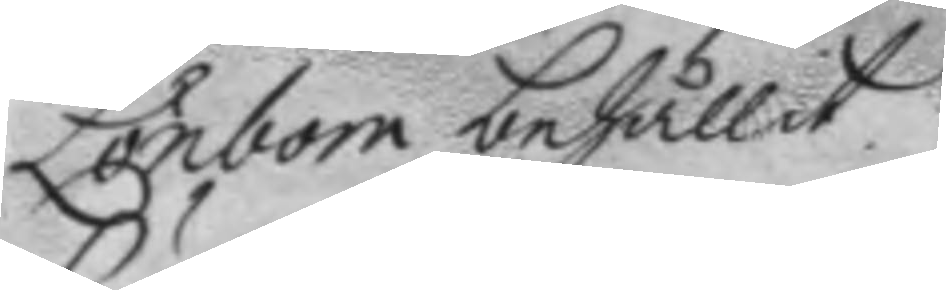Lönbom behållit.
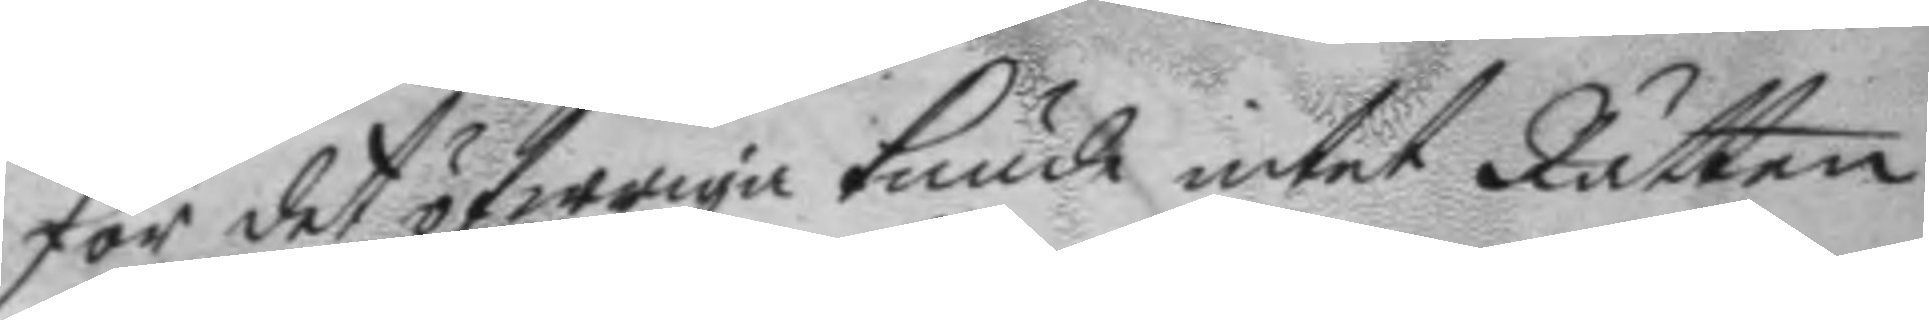För det öfwriga kunde intet Rätten
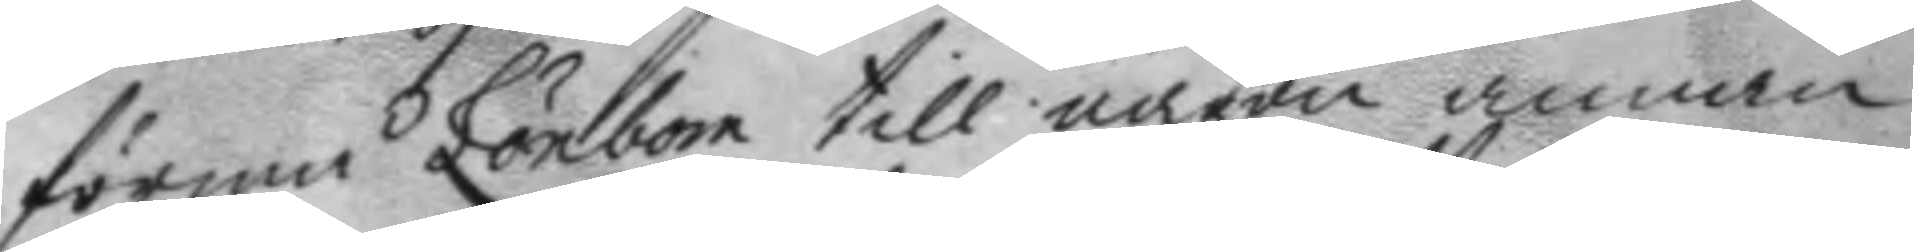förmå Lönbom till någon annan
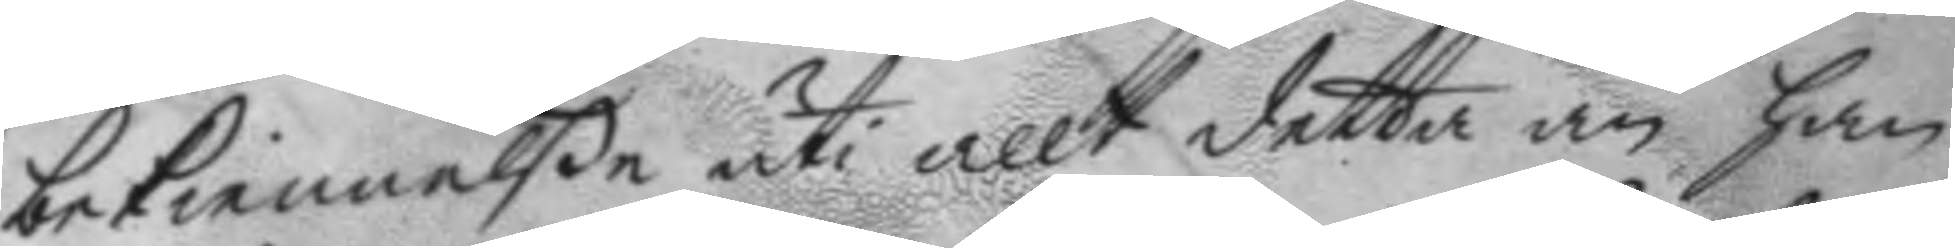bekiennelße uti allt detta än han
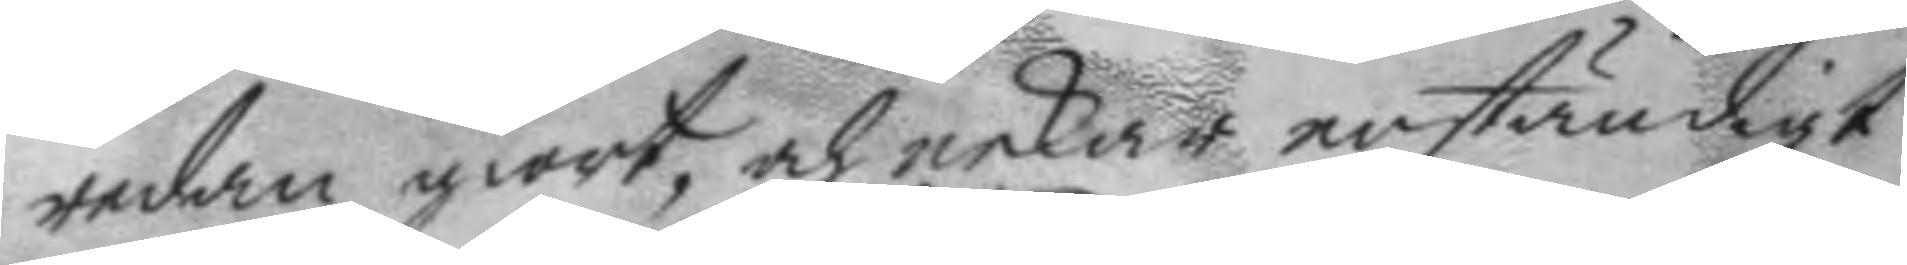redan giort, och nekar enständigt
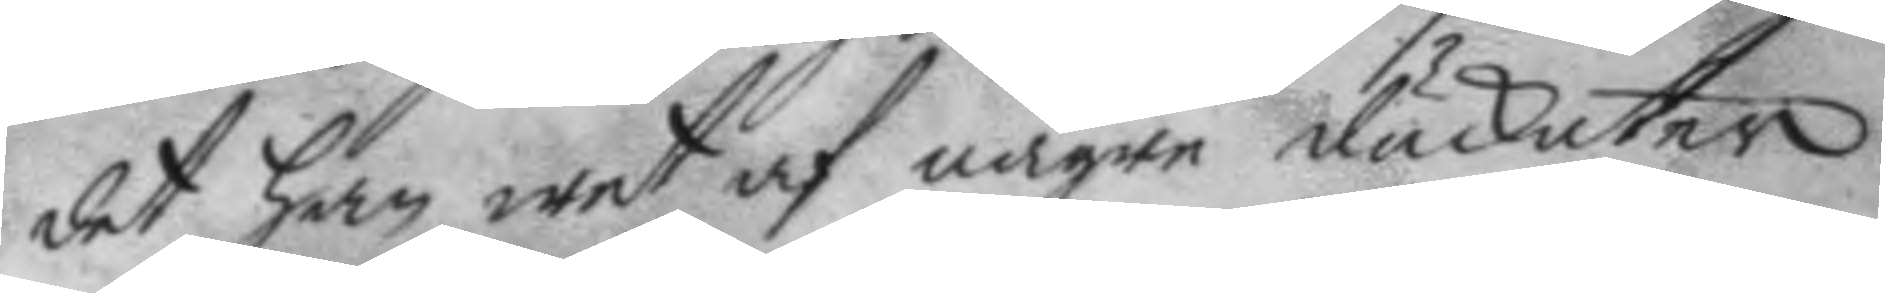det han wet af någre duckater
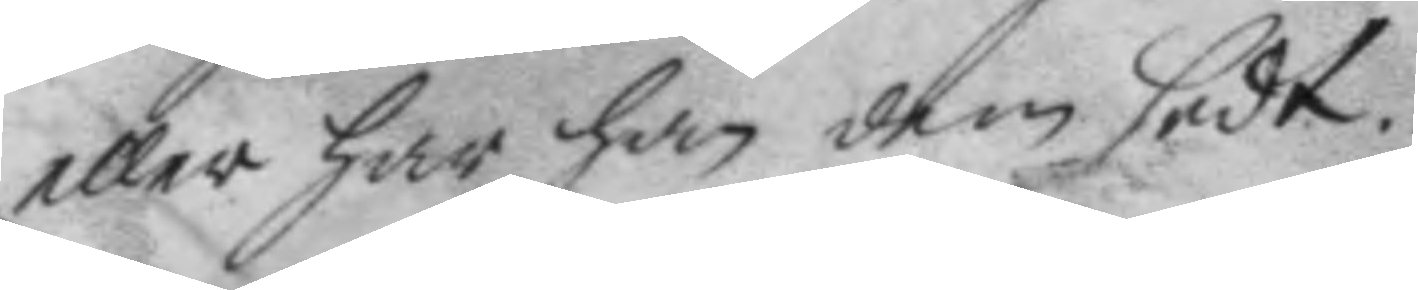eller har han dem sedt.
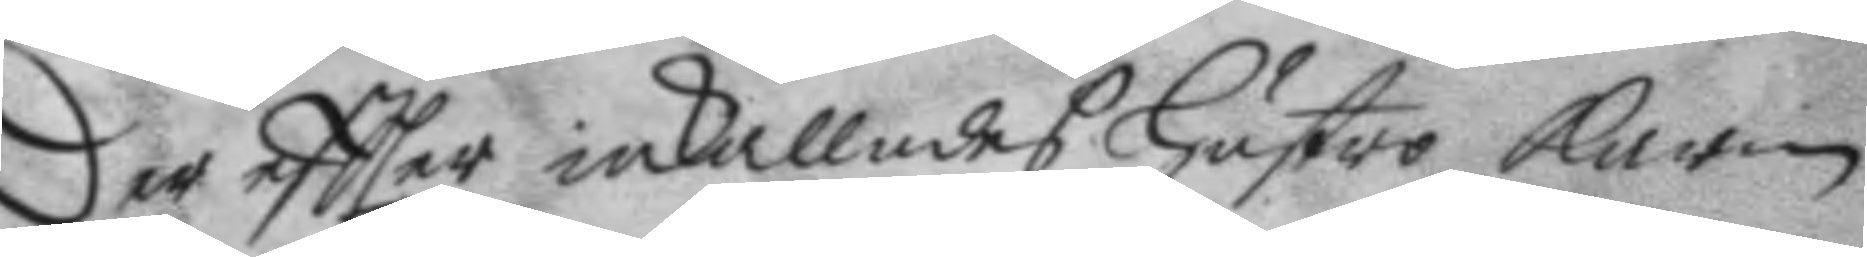Der eftter inkallades hustro karin
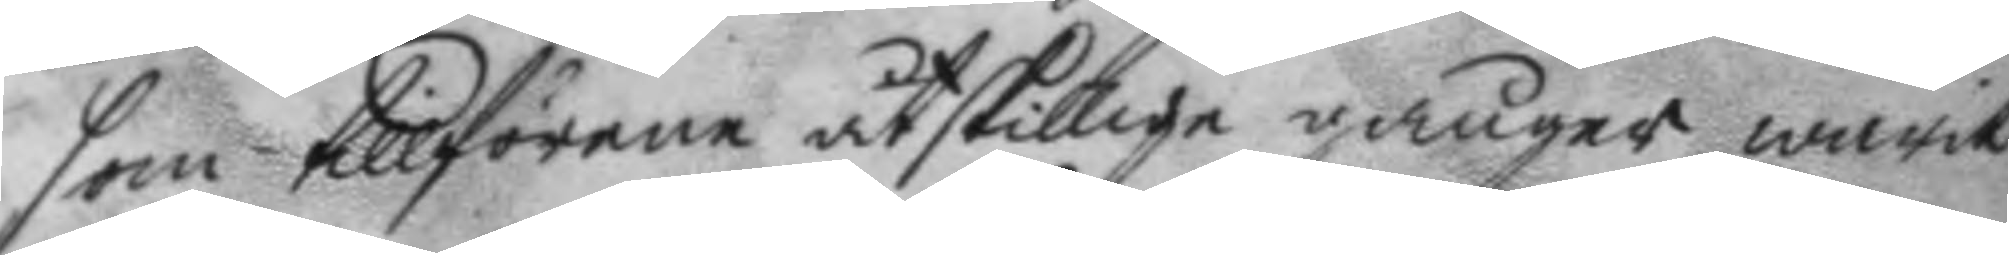som tillförene åtskillige gånger warit
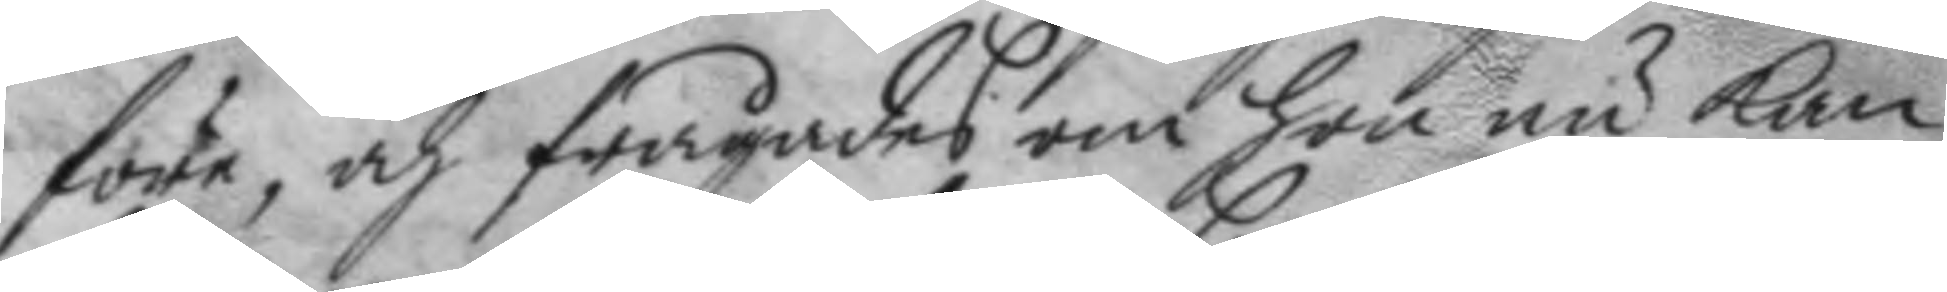före, och frågades om hon nu kan
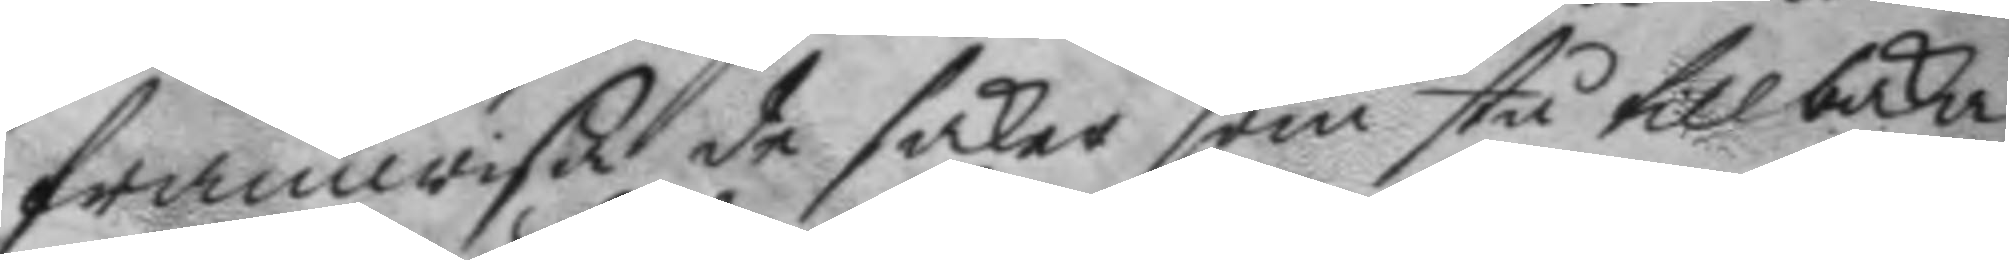framwisa de saker som stå tillbaka
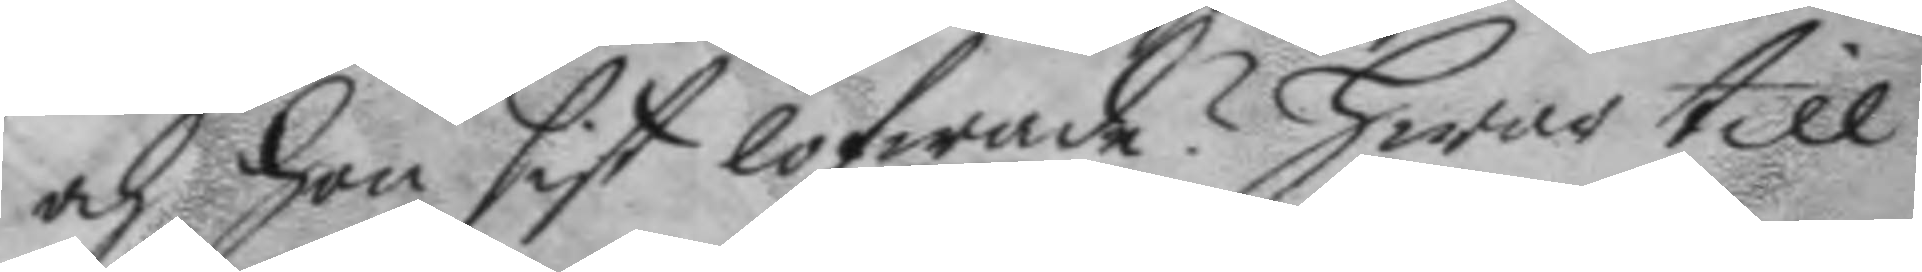och hon sist lofwade? hwar till
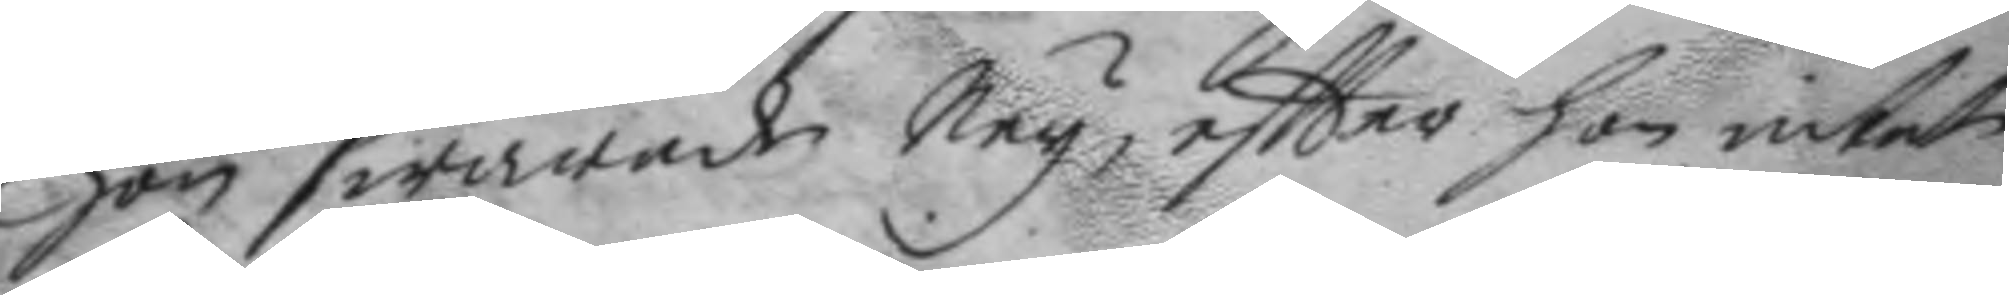hon swarade Ney, eftter hon intet
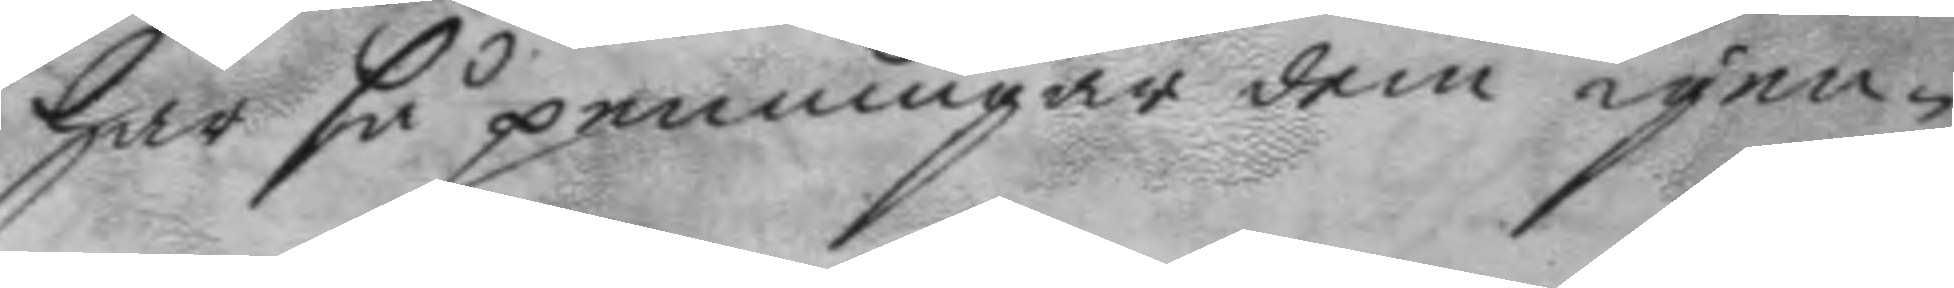har så penningar dem igen¬
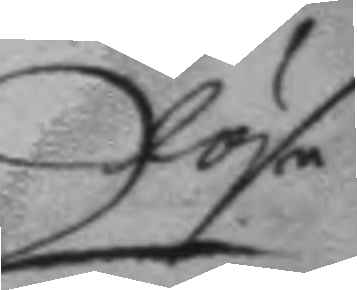lösa
